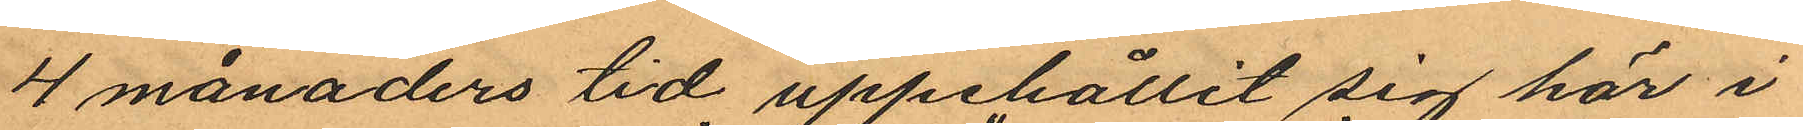4 månaders tid uppehållit sig här i
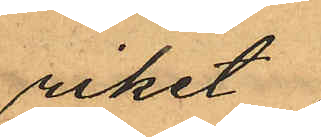riket
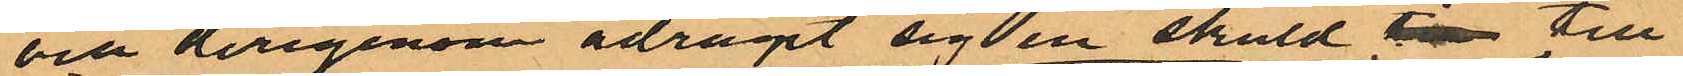och derigenom ådragit sig en skuld  till
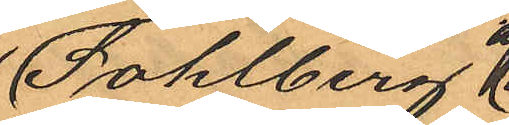Sohlberg
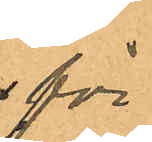för
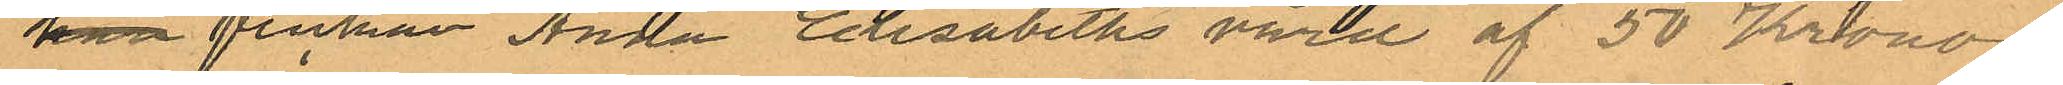han flickan Anna Elisabeths vård af 50 Kronor
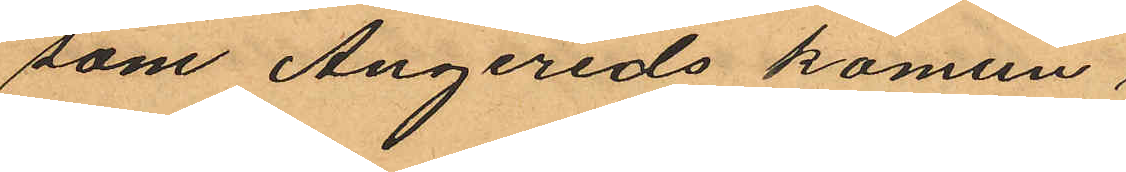som Angereds komun
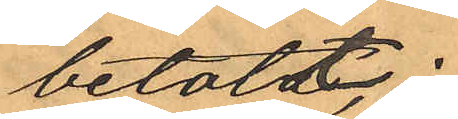betalt;
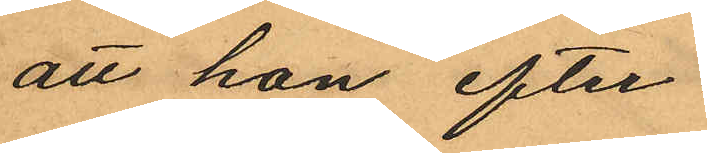att hon efter
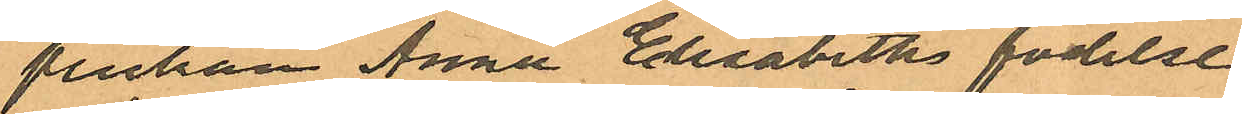flickan Anna Elisabeths födelse
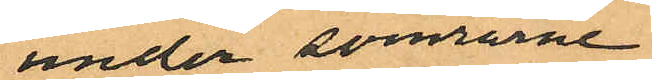under somrarne
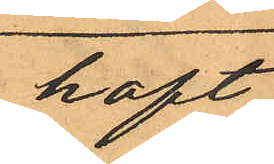haft
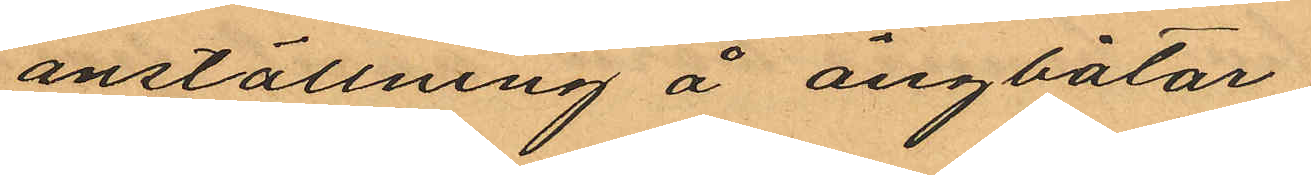anställning å ångbåtar
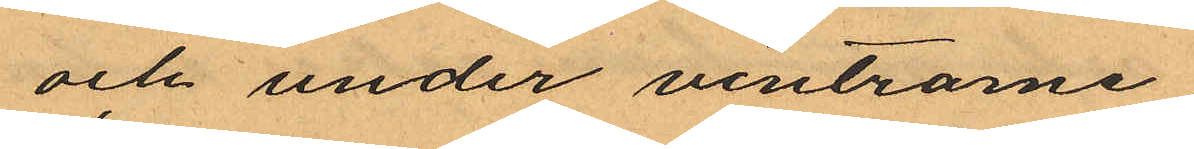och under vintrarne
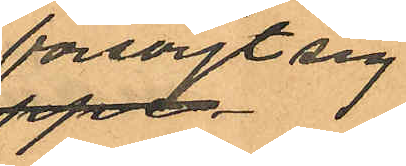försörjt sig
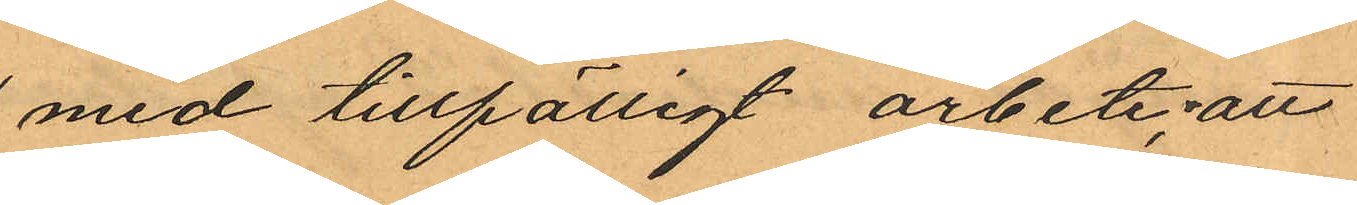med tillfälligt arbete; att
